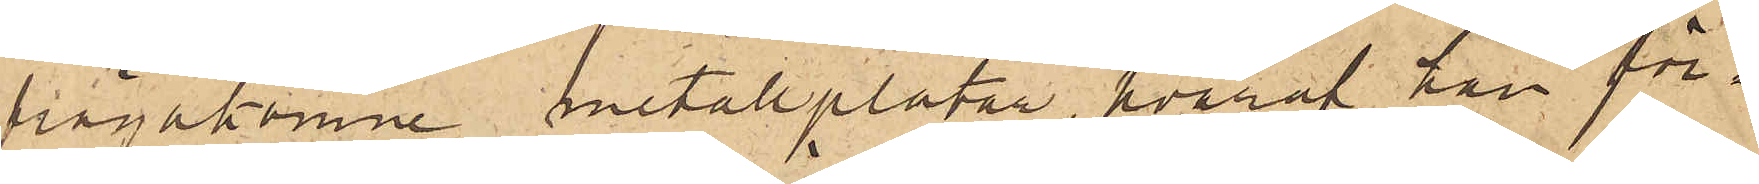frågakomne metallplåtar, hvaraf han för¬
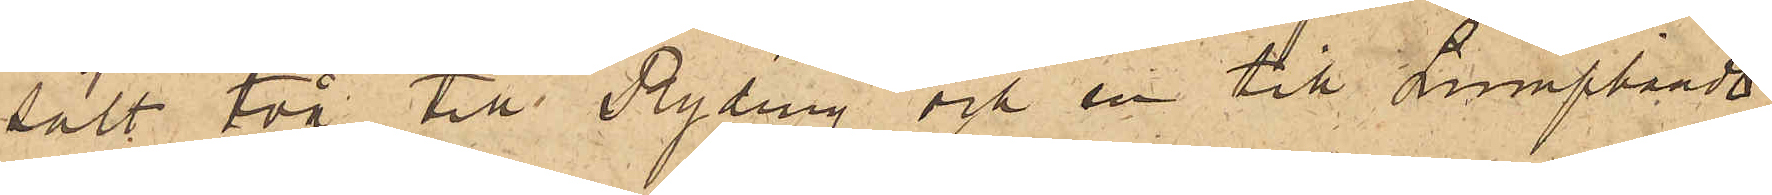sålt två till Ryding och en till Lumphand¬
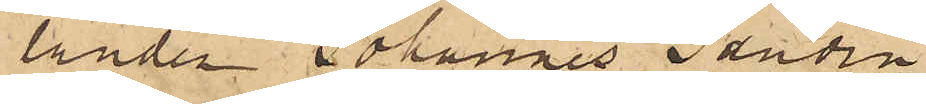landen Johannes Sandin.
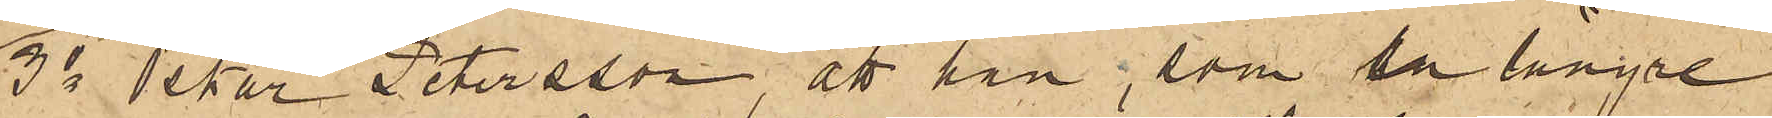3o Oskar Petersson, att han, som en längre
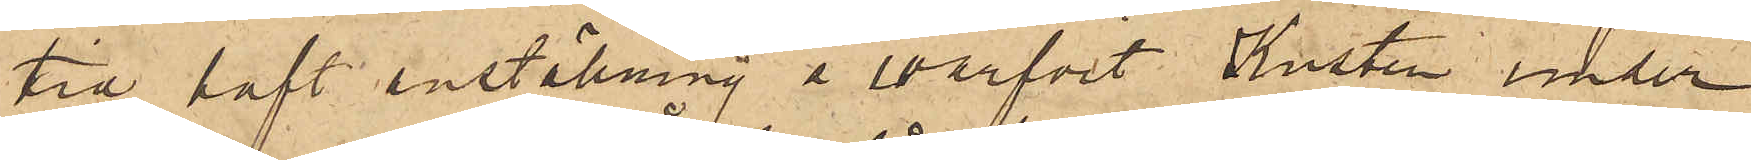tid haft anställning å warfvet Kusten under
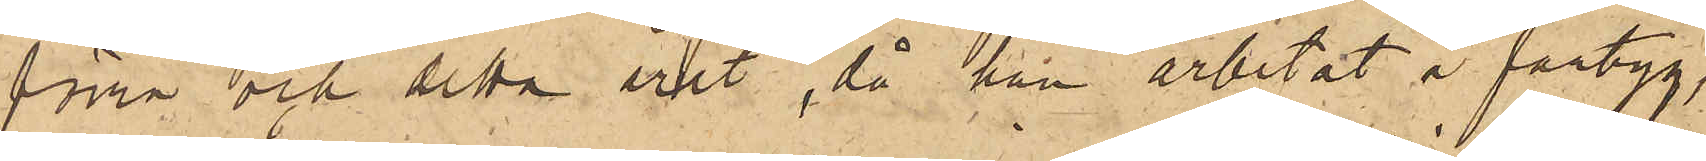förra och detta året, då han arbetat å fartyg,
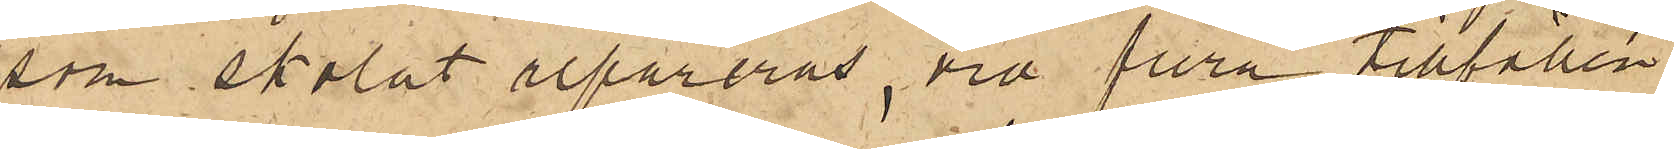som skolat repareras, vid flera tillfällen
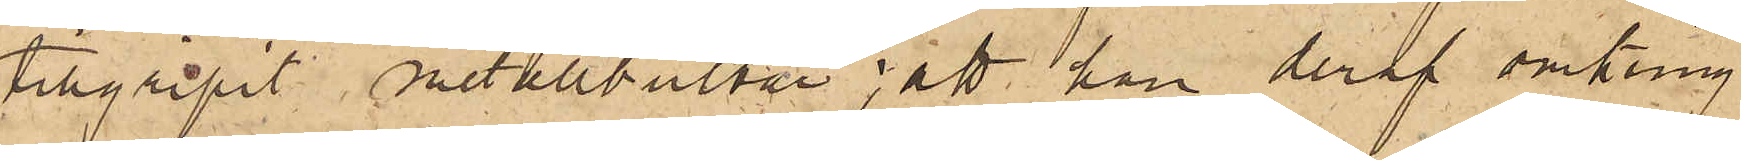tillgripit metallbultar; att han deraf omkring
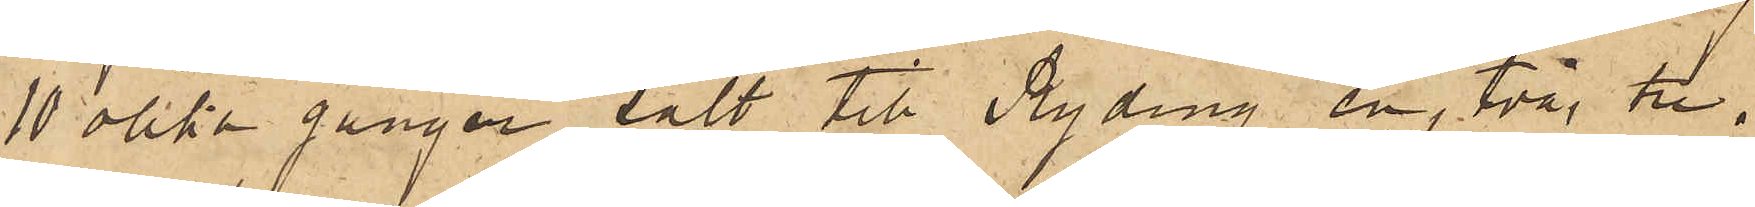10 olika gånger sålt till Ryding en, två, tre
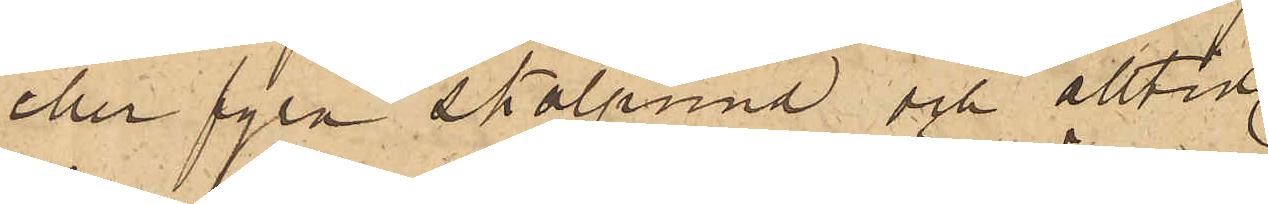eller fyra skålpund och alltid
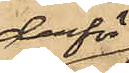derför
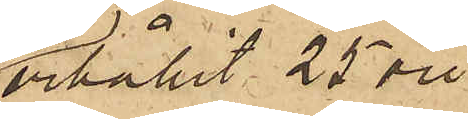erhållit 25 öre
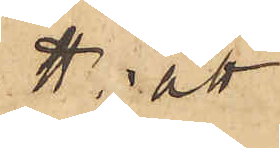℔; att
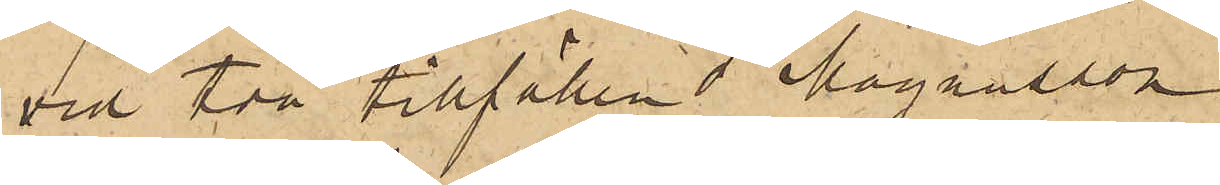vid två tillfällen Magnusson
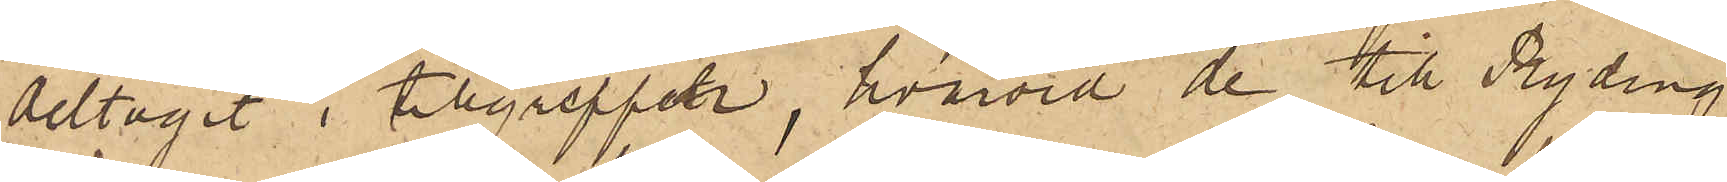deltagit i tillgreppen, hvarvid de till Ryding
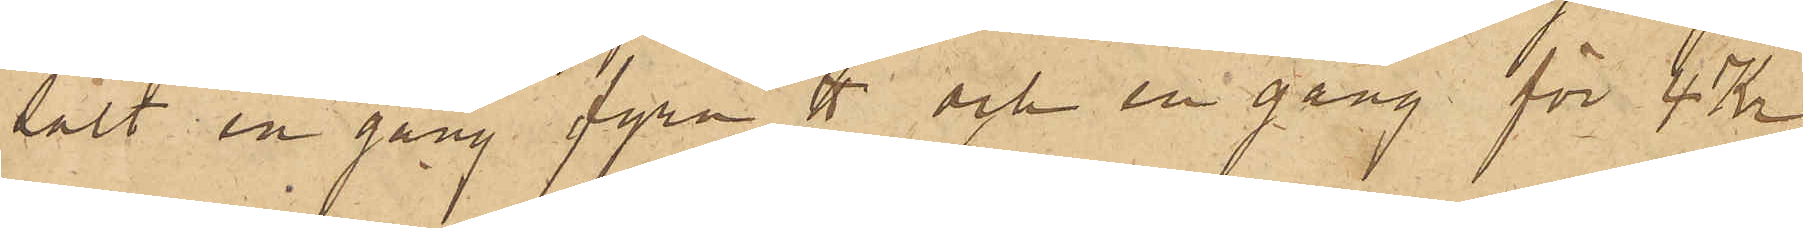sålt en gång fyra ℔ och en gång för 4 Kr;
